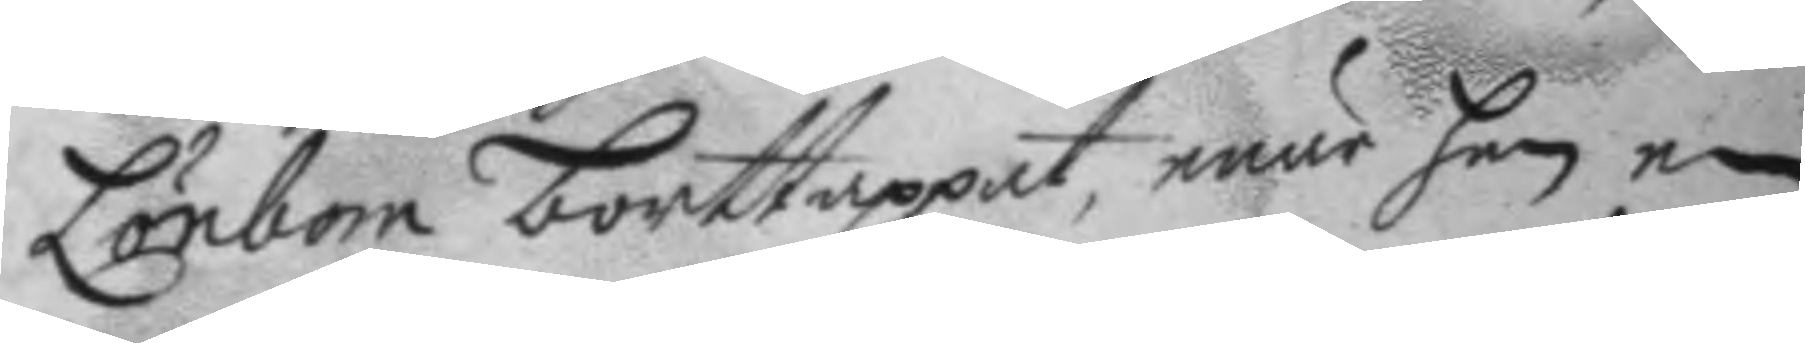Lönbom borttappat, enär han en
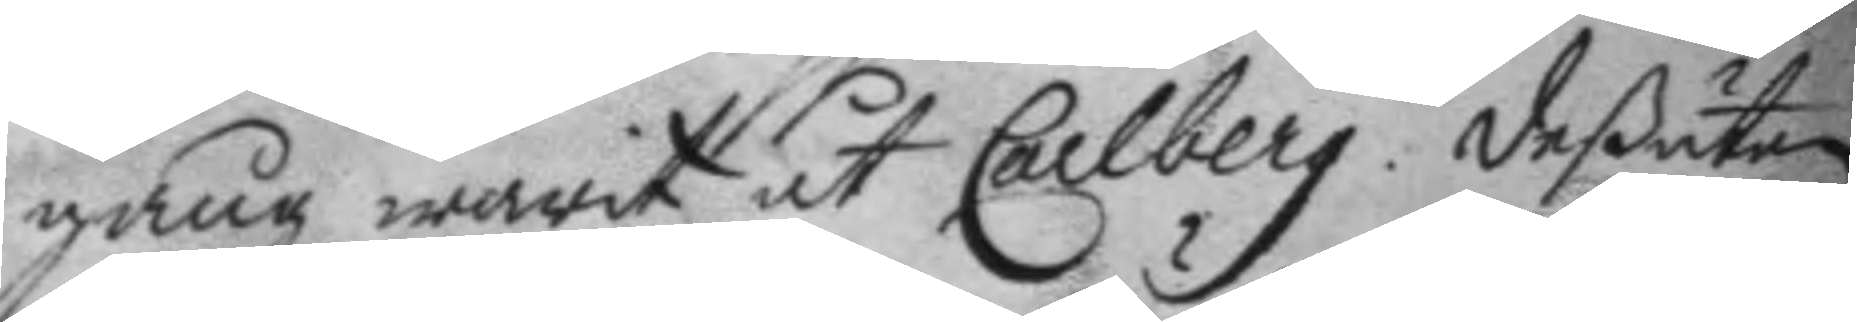gång warit åt Carlberg. deßutan
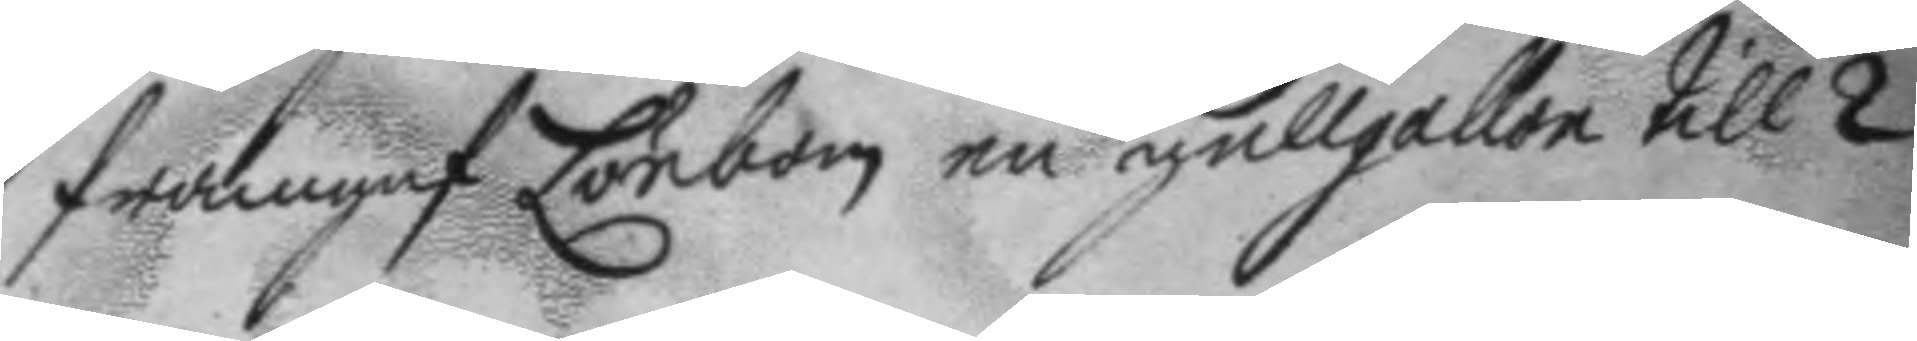framgaf Lönbom en gullgallon till 2
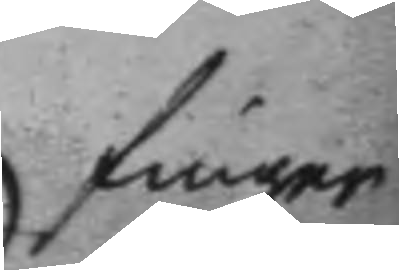finger
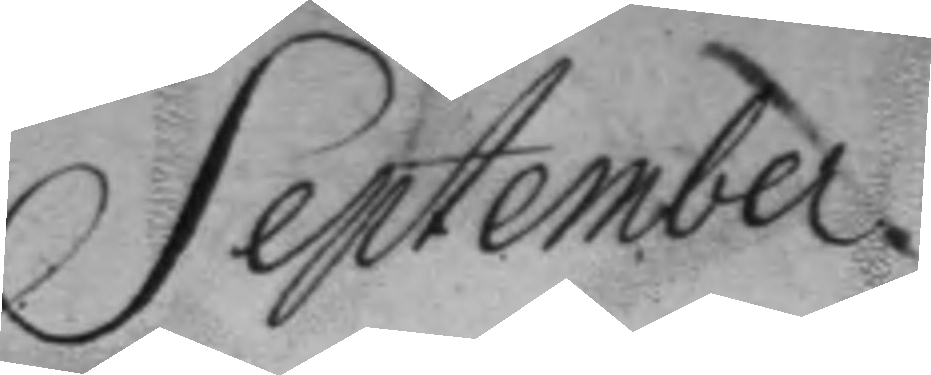September.
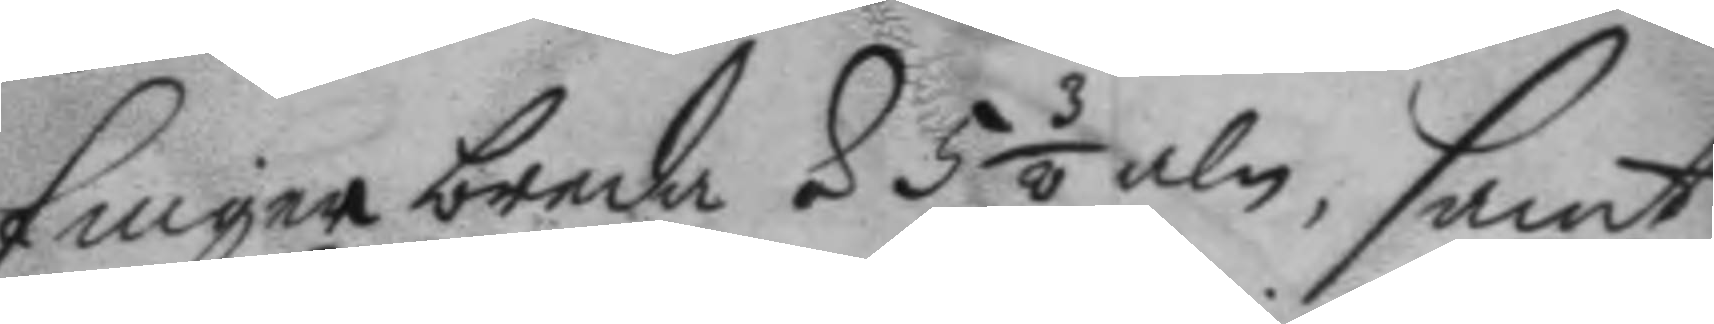finger breda á 5 3/8 aln, samt
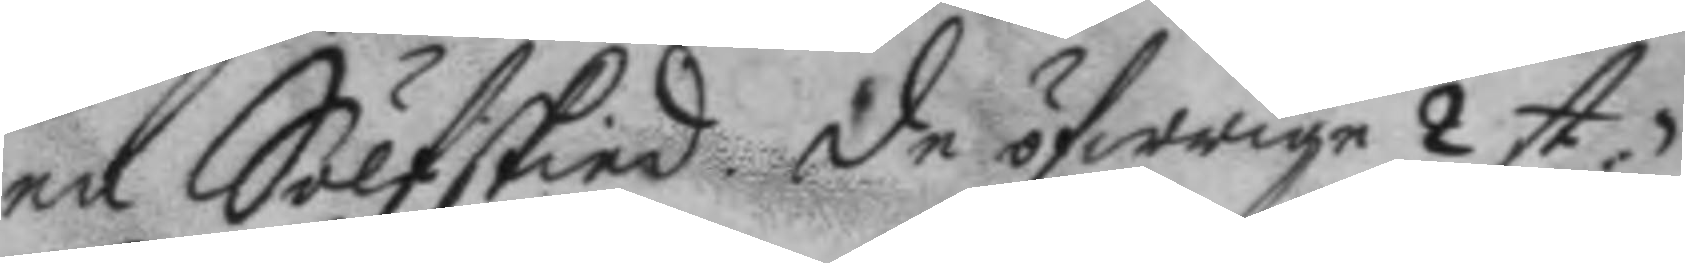en Sälfskied de öfwrige 2 st.
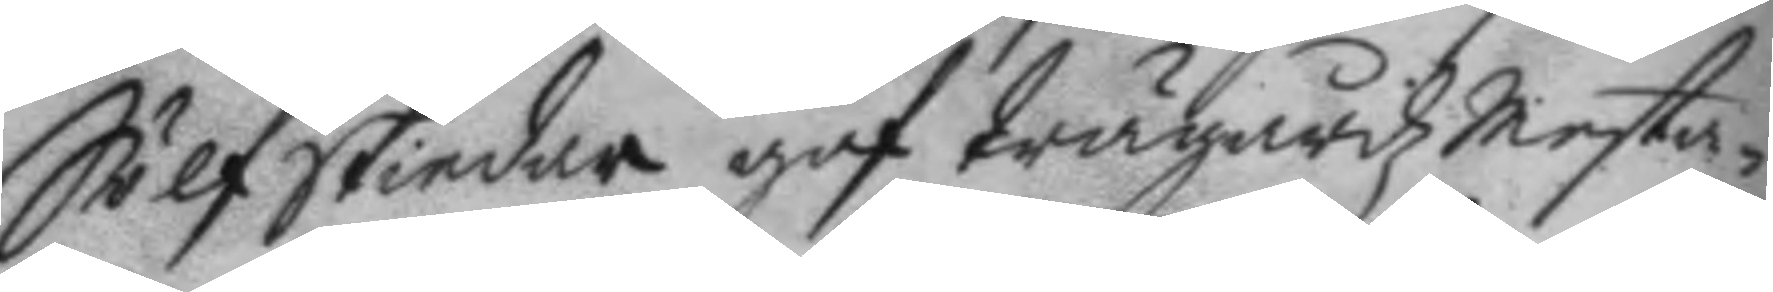Sölfskiedar gaf trägårdzmesta¬
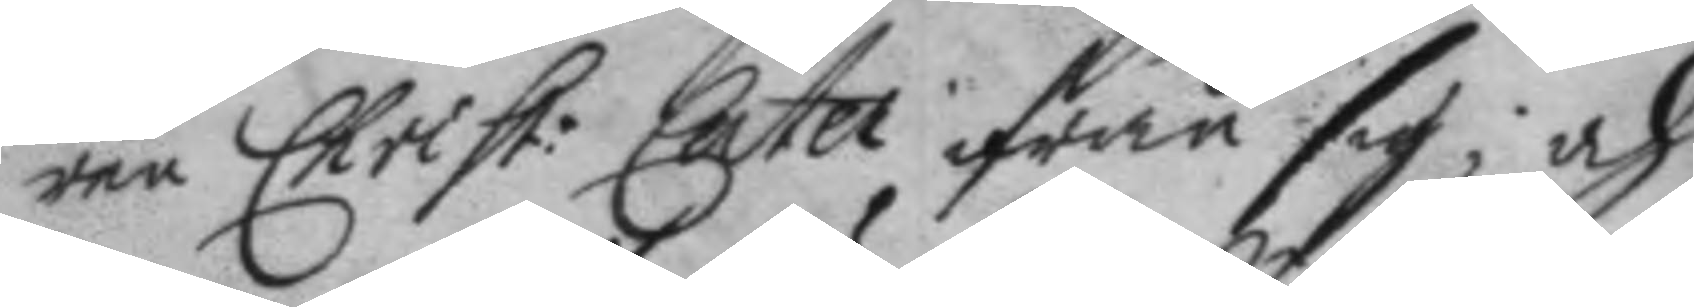ren Christ: Cater ifrån sig; och
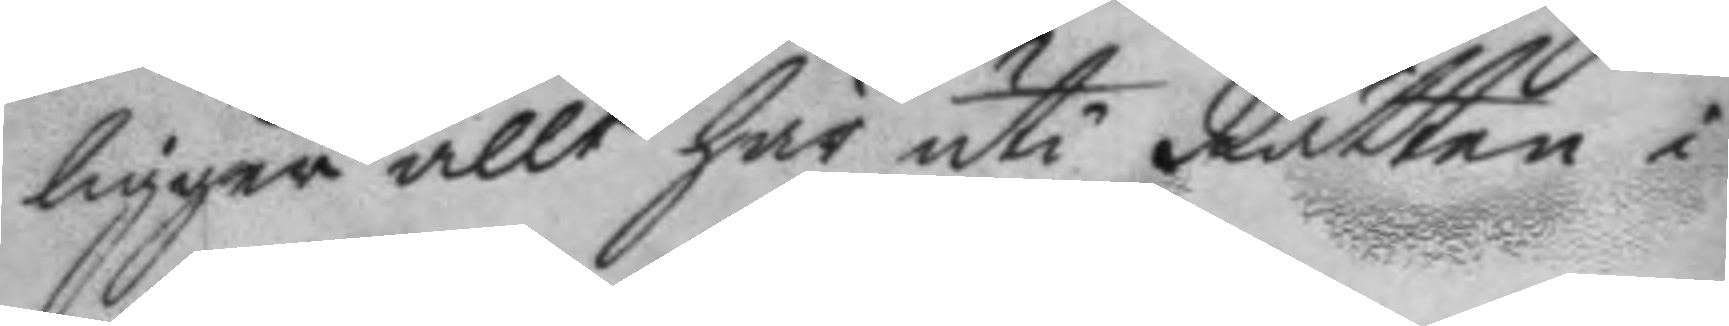ligger allt här uti Rätten i
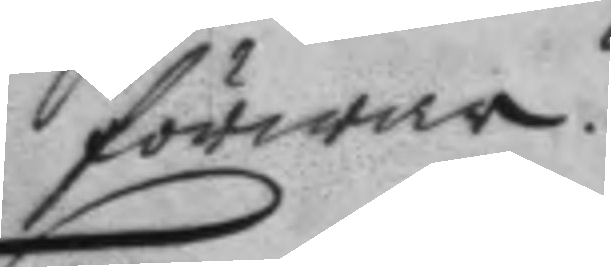förwar.
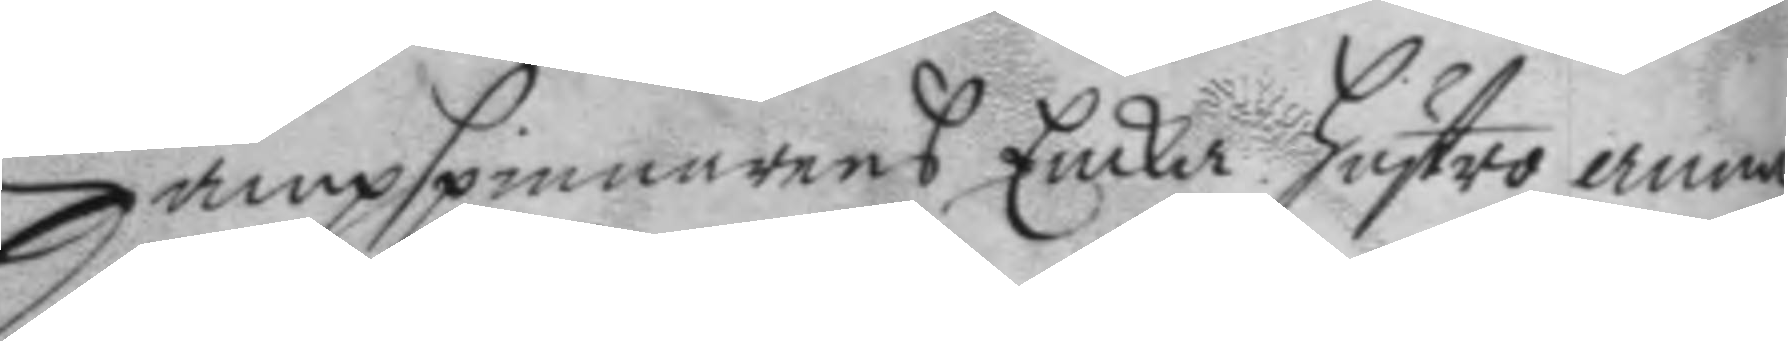Hampspinnarens Encka hustro anna
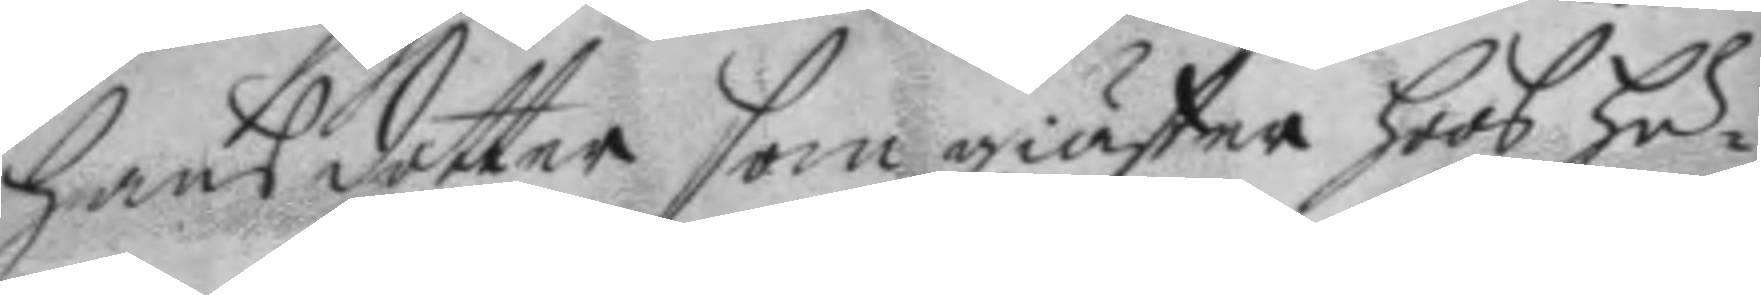hansdotter som giäster hoos hu¬
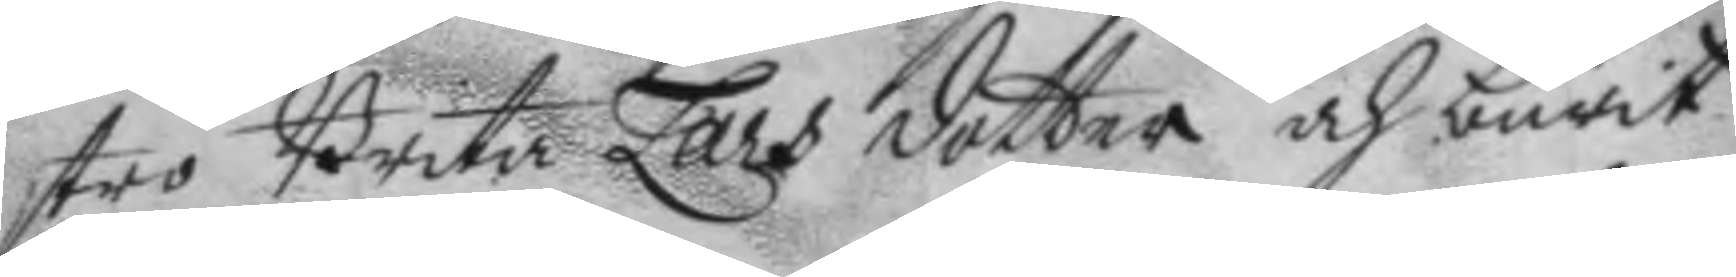stro Brita Lars dotter och burit
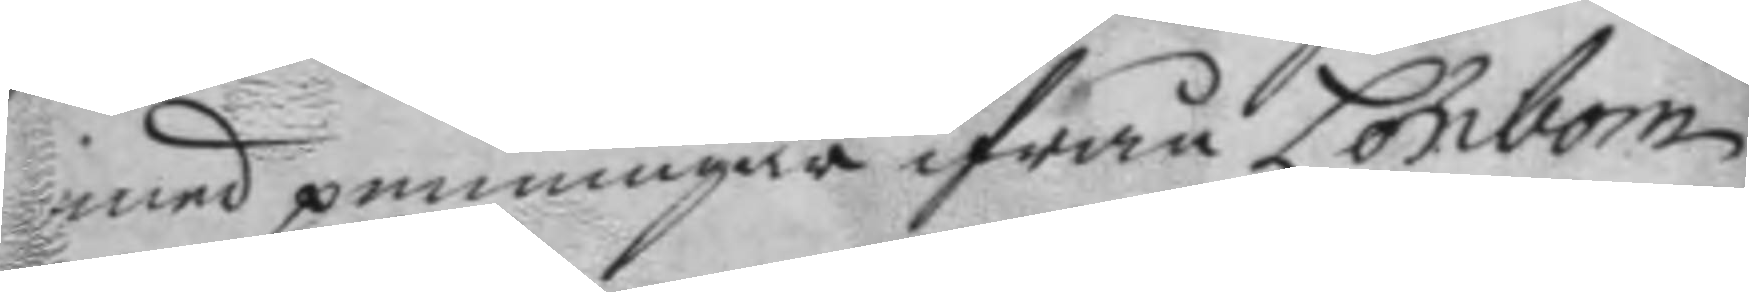med penningar ifrån Lönbom
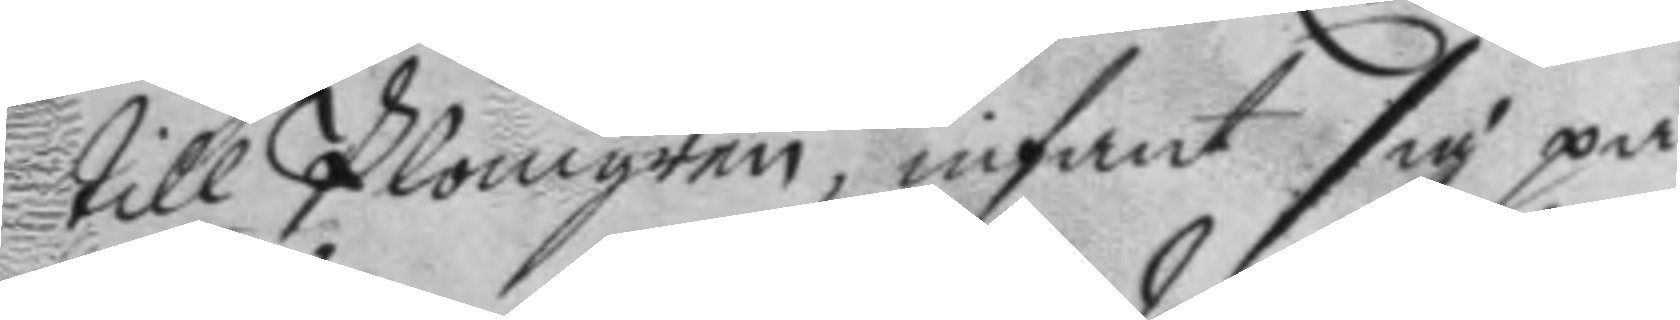till Plomgren, infant sig på
